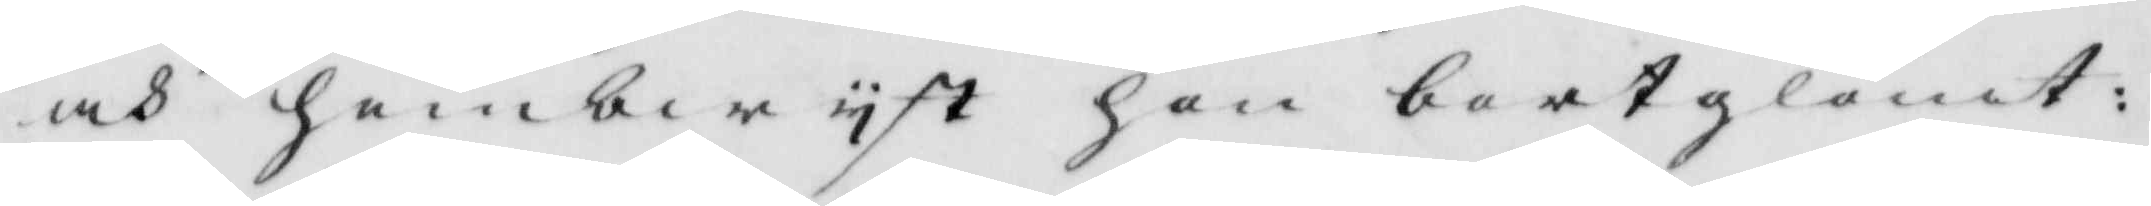och Hembwyst hon bortglömt:
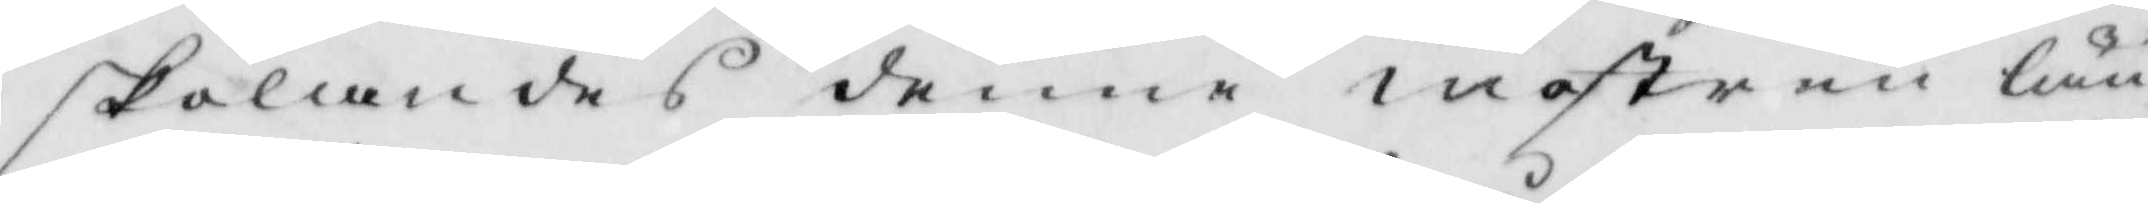skolandes denne mostren län¬
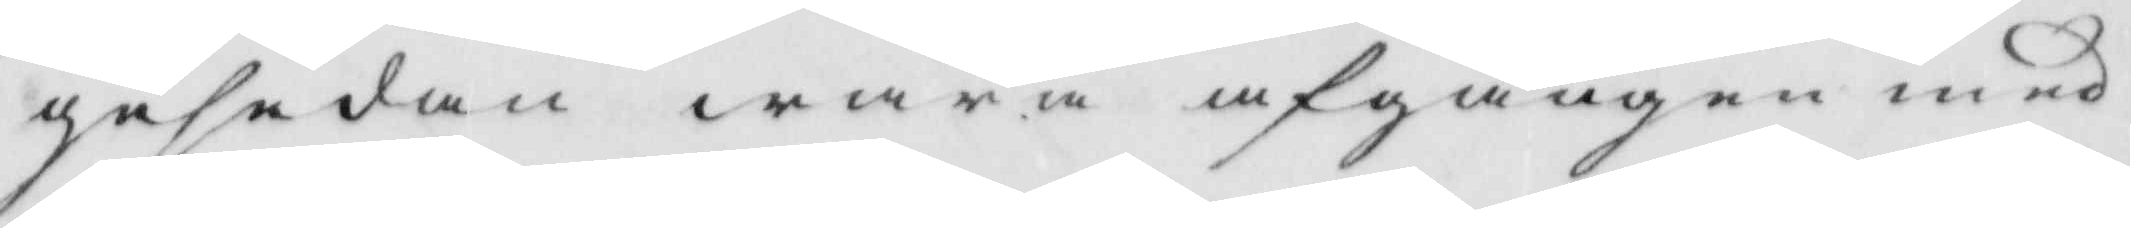gesedan wara afgången med
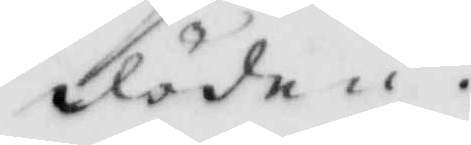döden.
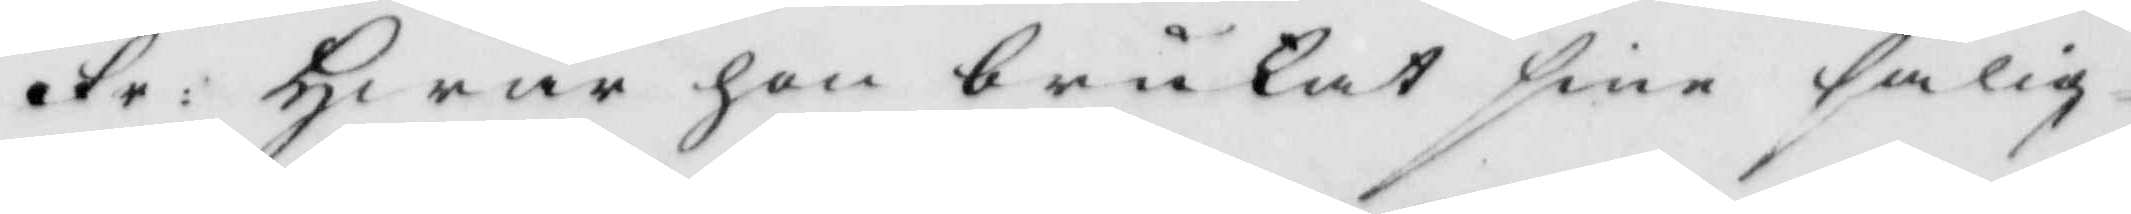Fr : Hwar hon brukat sine salig¬ 
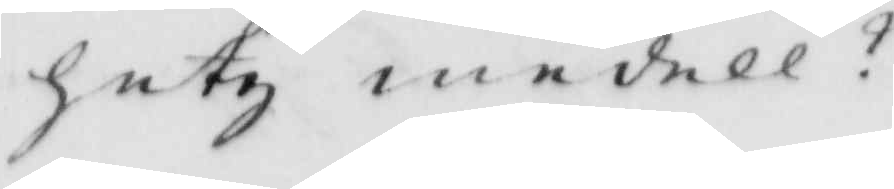hutz medell?
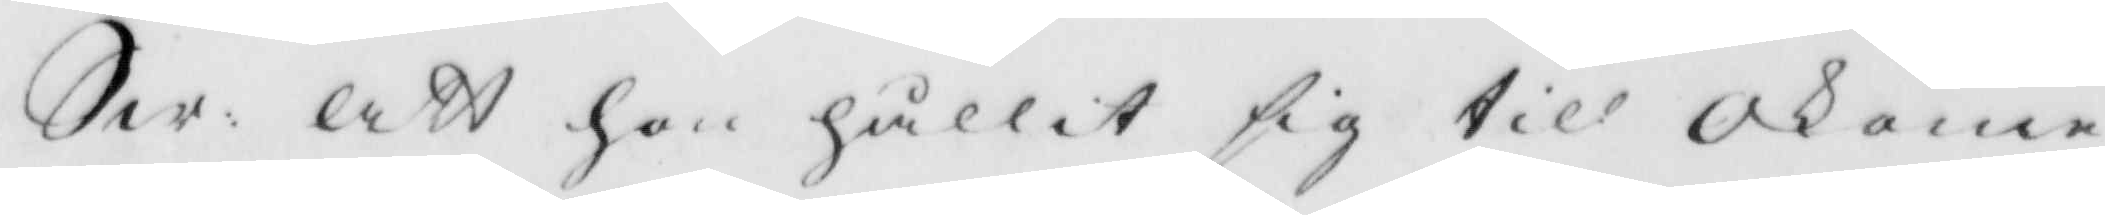Sw: att hon hållit sig till Okome
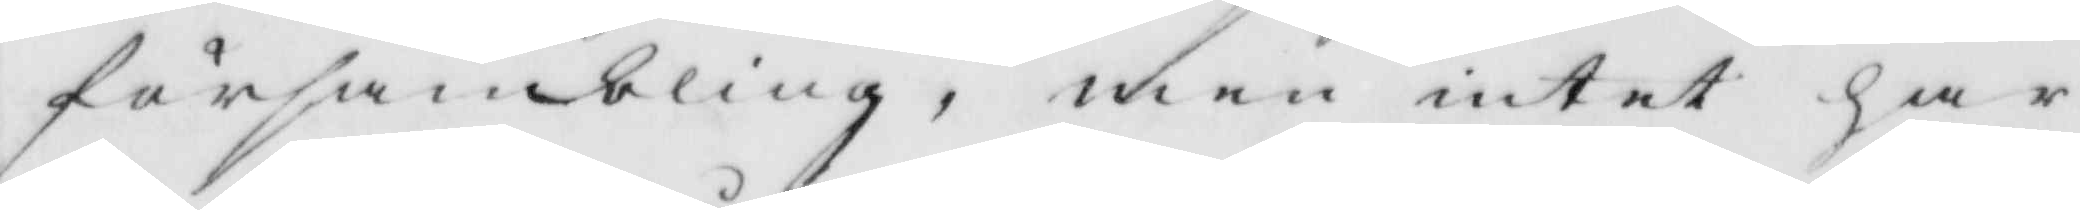försambling, men intet har
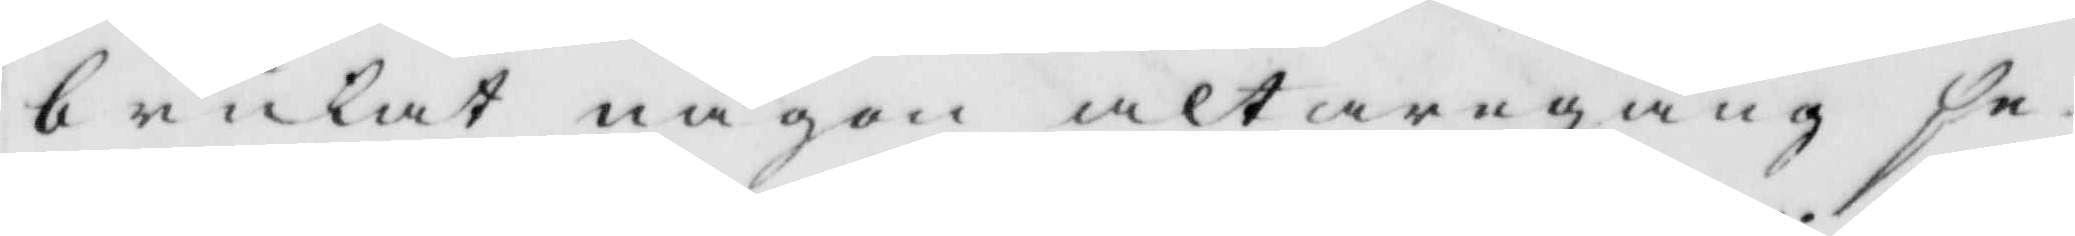brukat någon altaregång se¬
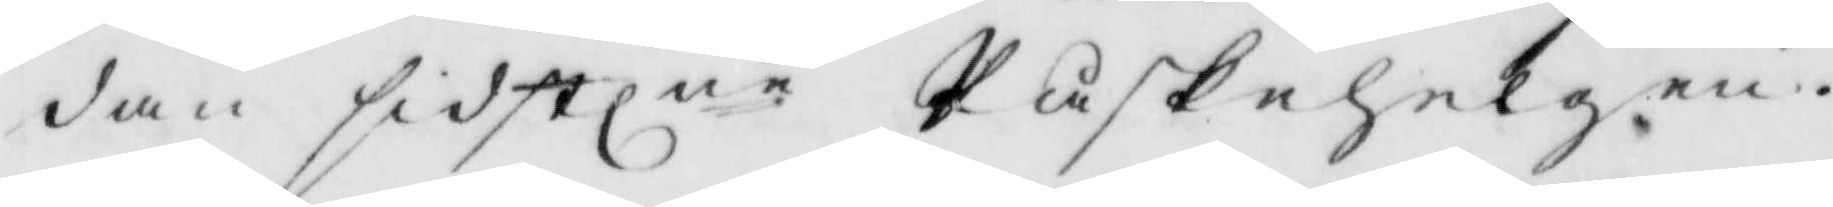dan sidstlne Påskehelgen.
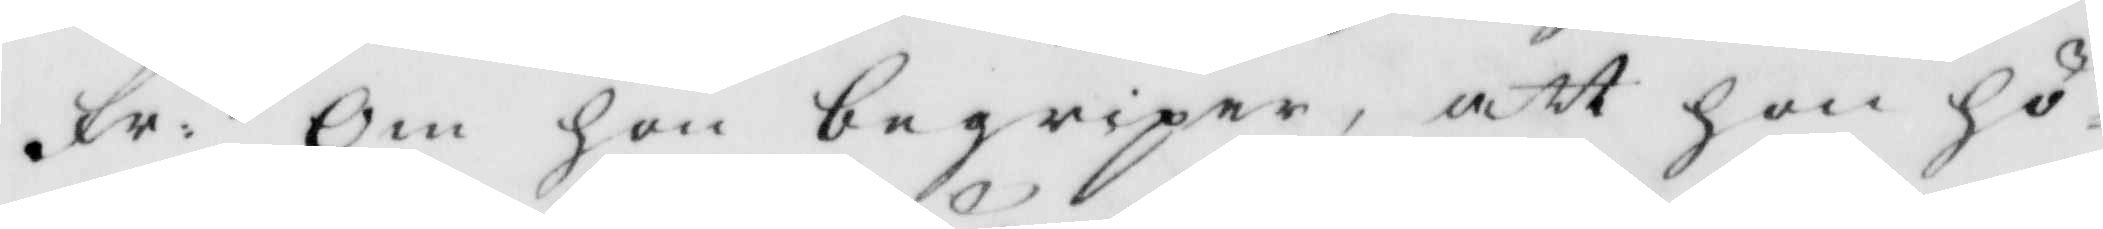Fr: Om hon begriper, att hon hö¬
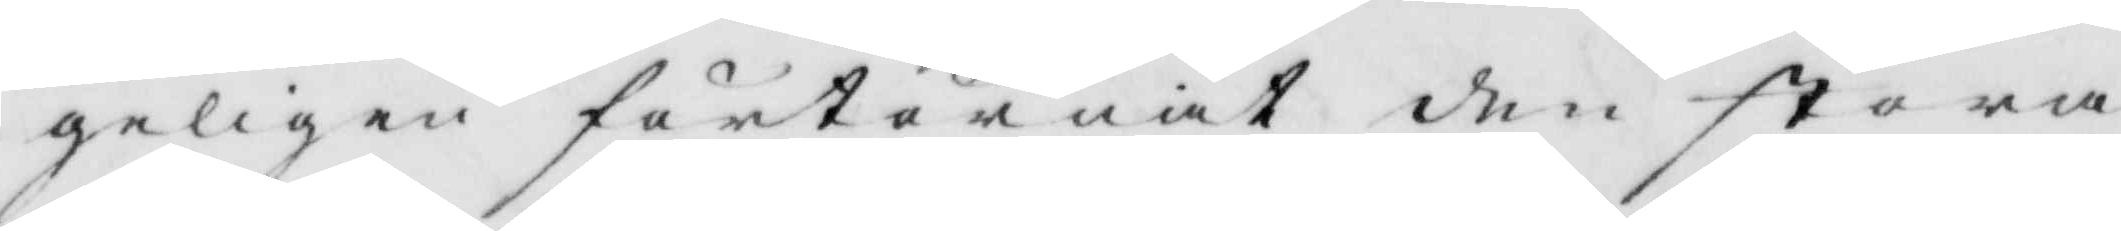geligen förtörnat den stora
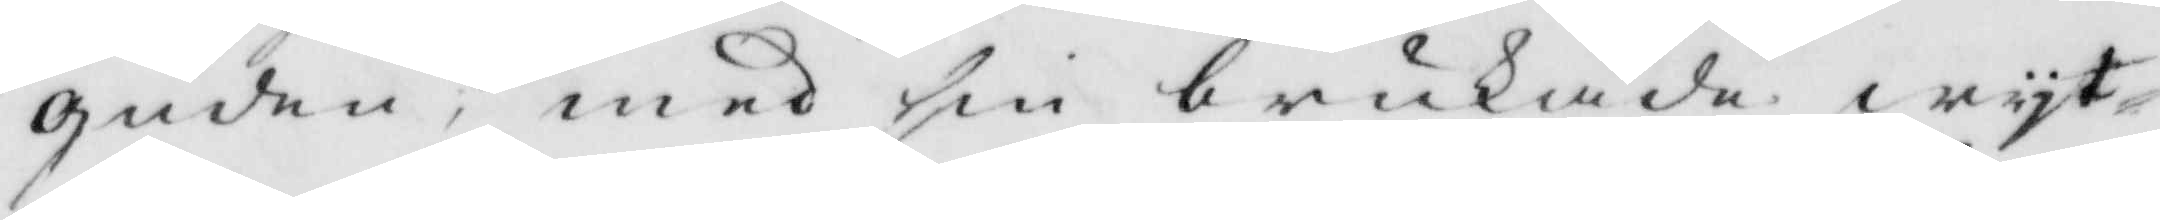guden, med sin brukade wyt¬
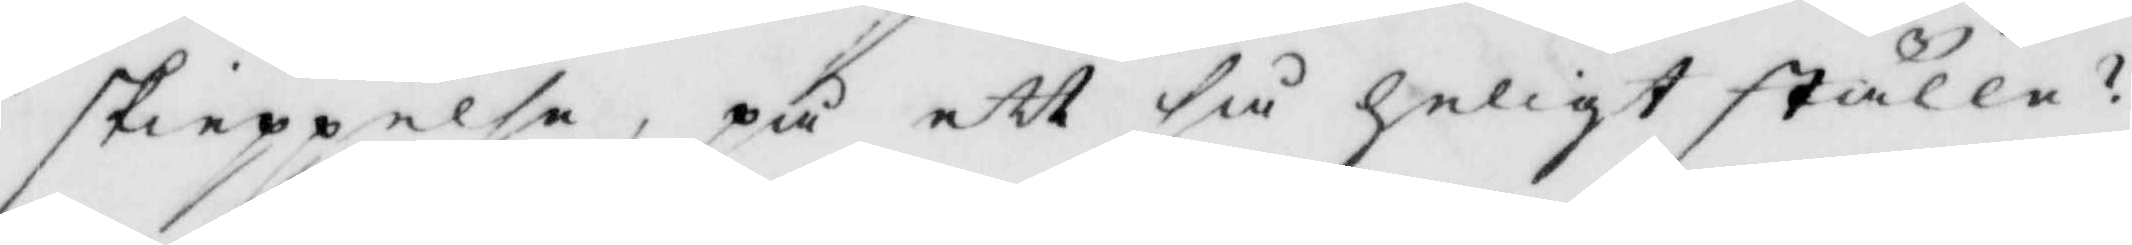skieppelse, på ett så heligt ställe?
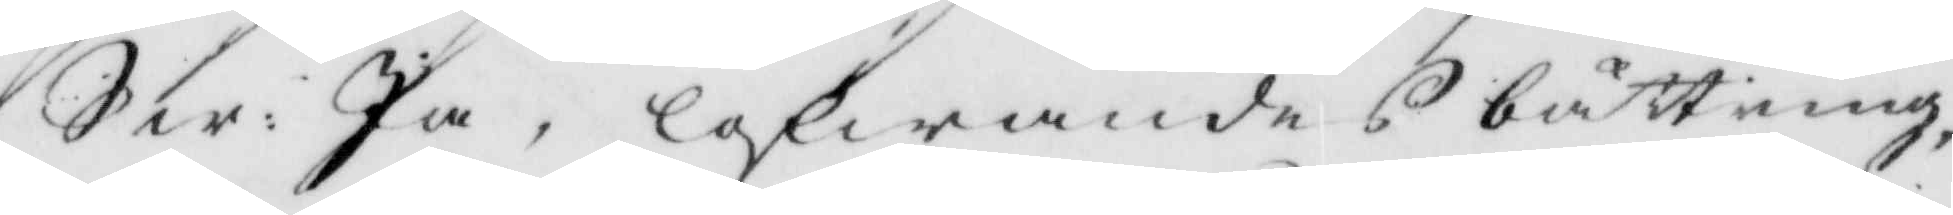Sw: Ja, lofwandes bättring
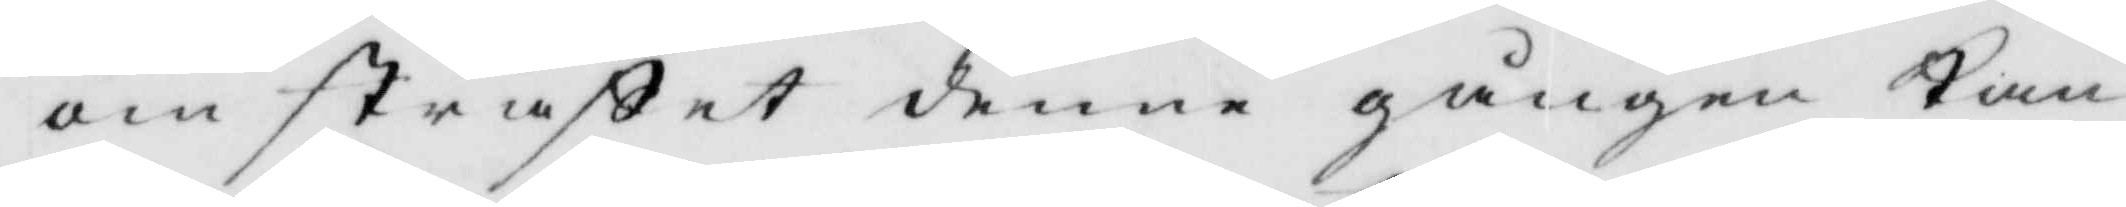om straffet denne gången kan
